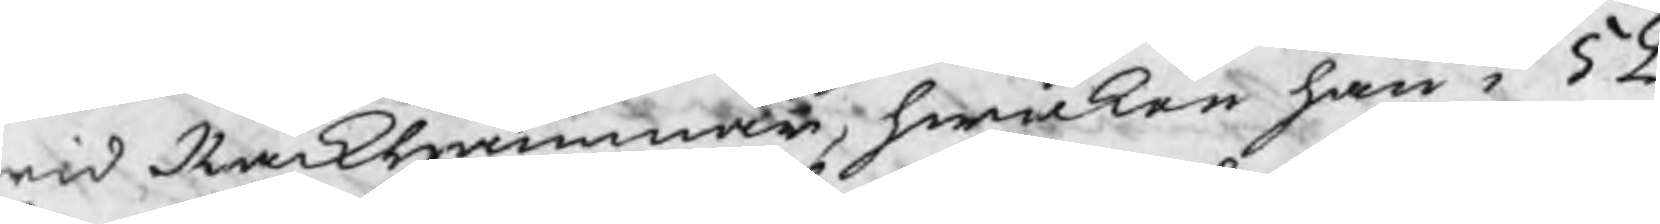wid Råckhammar, hwilken han i 52
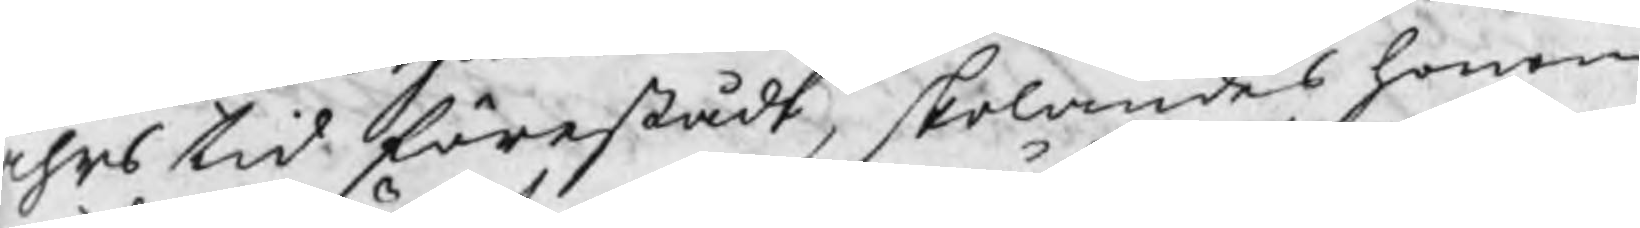åhrs tid förestådt, skolandes honom
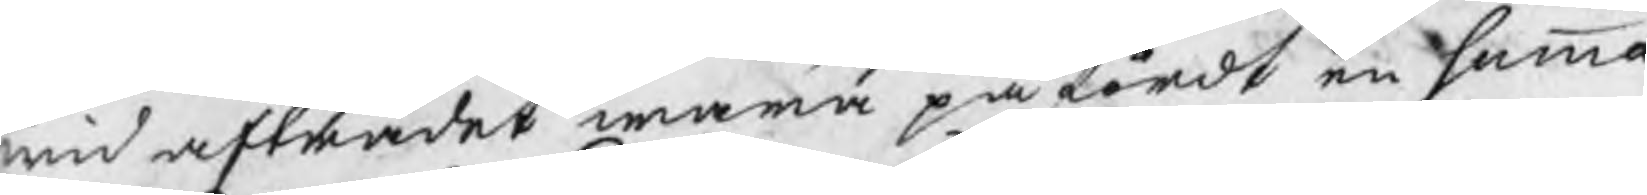wid afträdet wara påfördt en summa
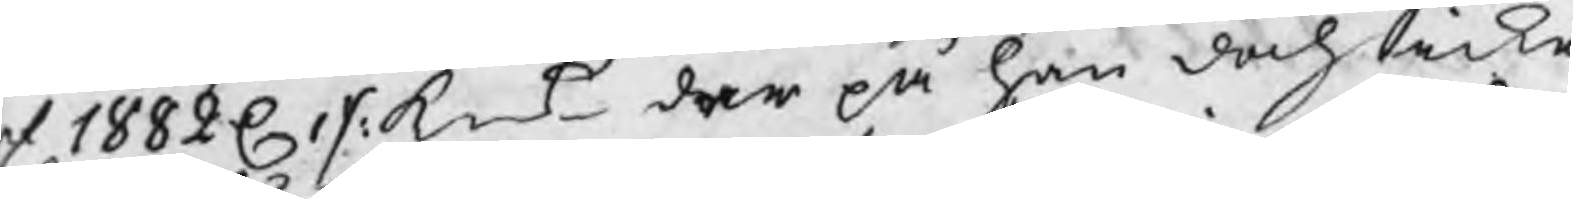af 1882 C 1 /: kmt der på han doch icke
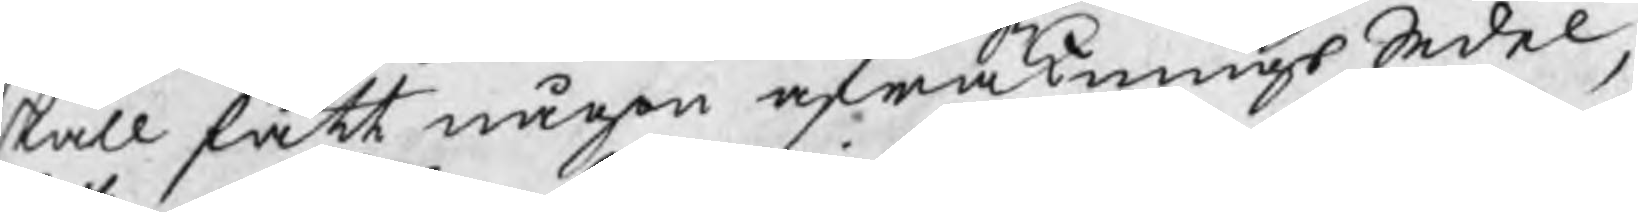skall fått någon afräkningsSedel,
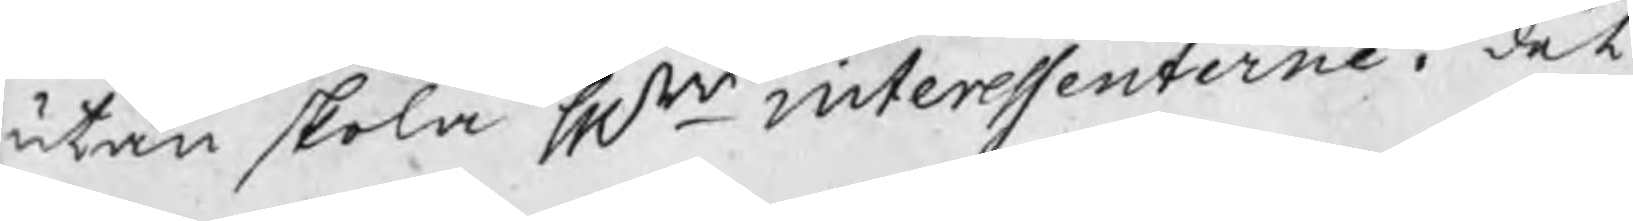utan skola Hrr interessenterne i det
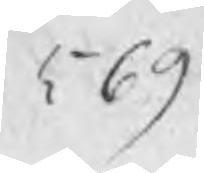569
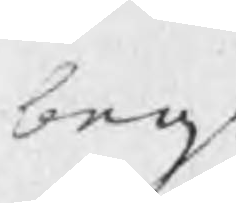beg.
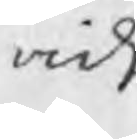vidi
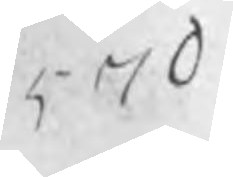570
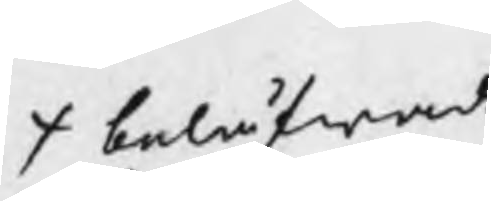belåfwade
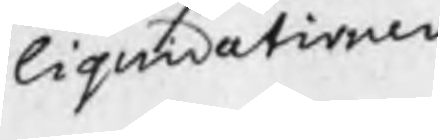liquidationen
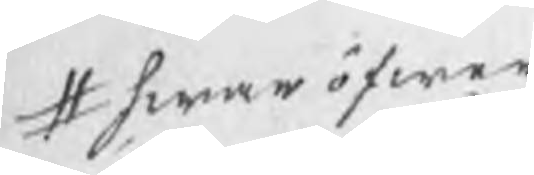# hwaröfwer
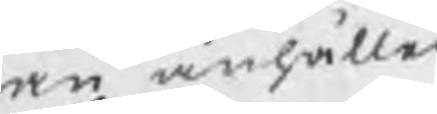han anhåller
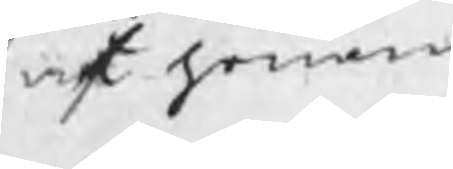at honom
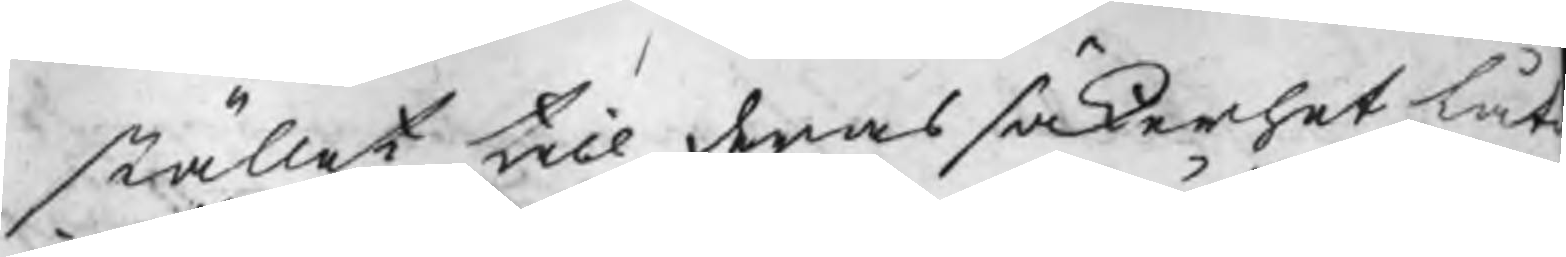stället till deras säkerhet låt
